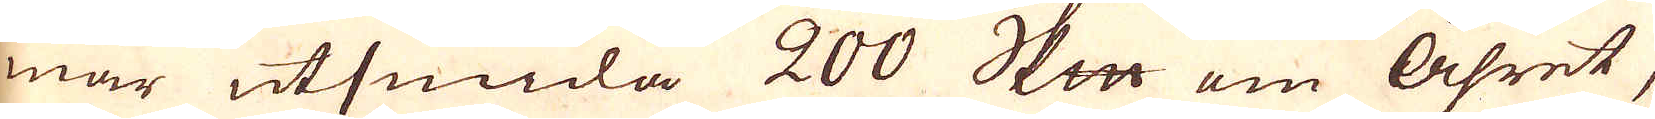mar utsmida 200 skeppund om Åhret,
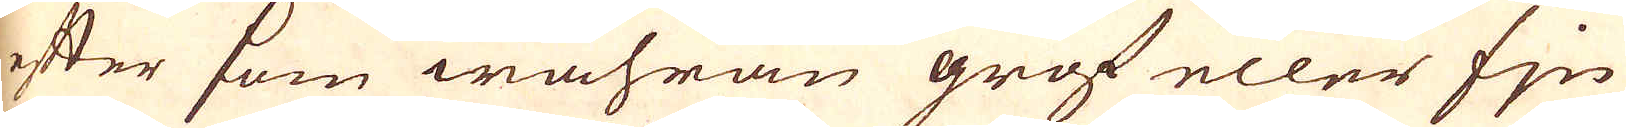efter som wahran grof eller fjn
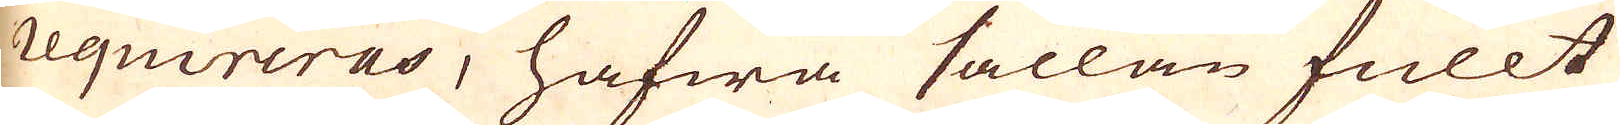requireras, hafwa sällan fullt
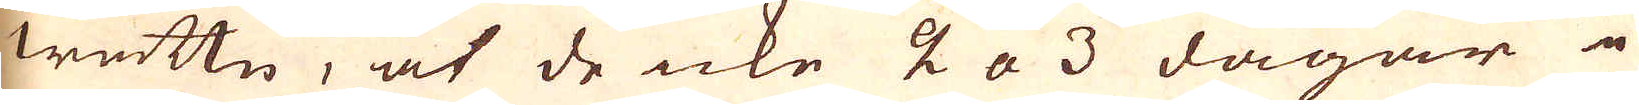wattn, at de icke 2 a 3 dagar i
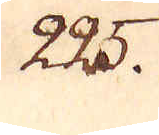225.
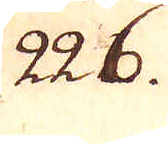226.
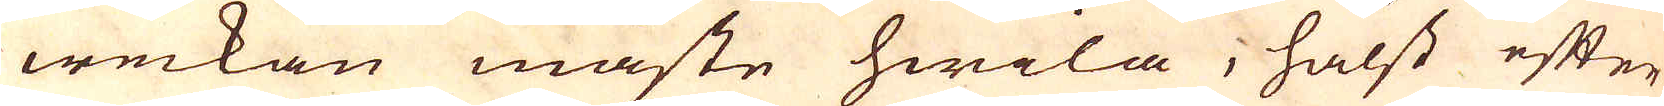weckan måste hwila, hälst efter
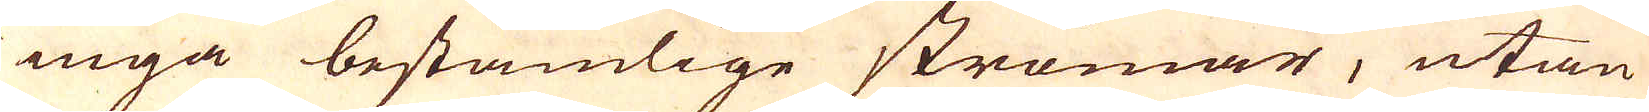inga beständige strömar, utan
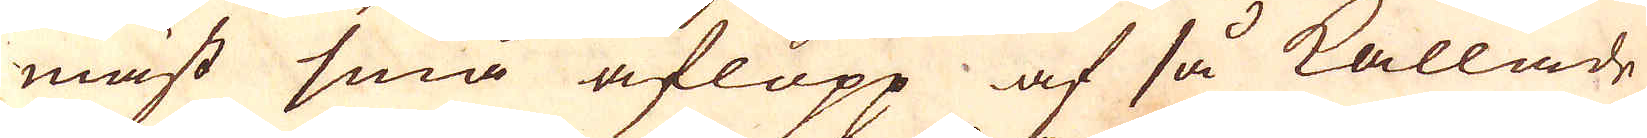mäst små aflopp af så kallade
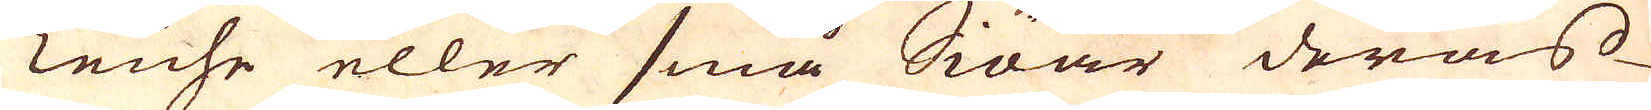Teuhe eller små Siöar deras
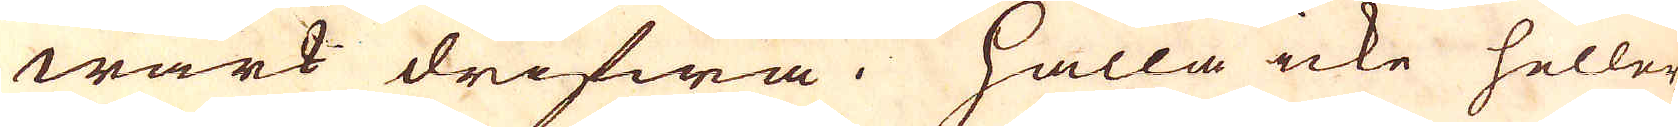wärk drifwa. Hålla icke heller
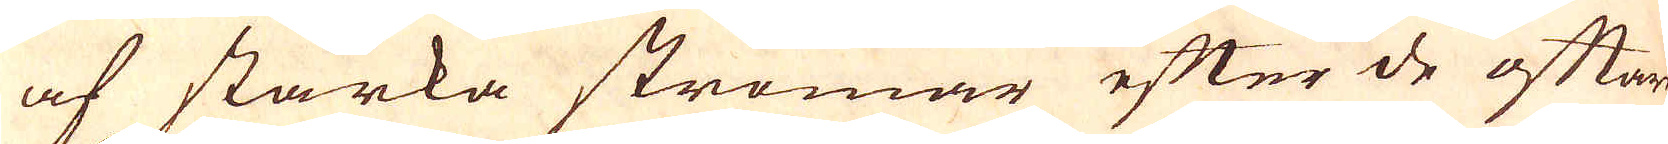af starka strömar efter de oftare
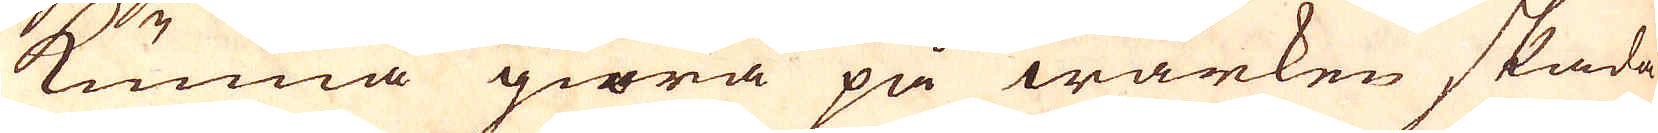kunna giöra på wärken skada
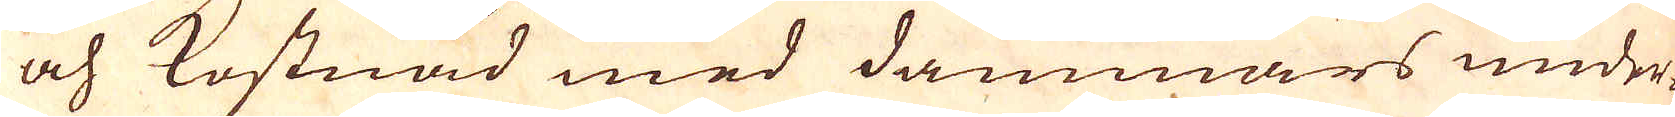och kostnad med dammars under-
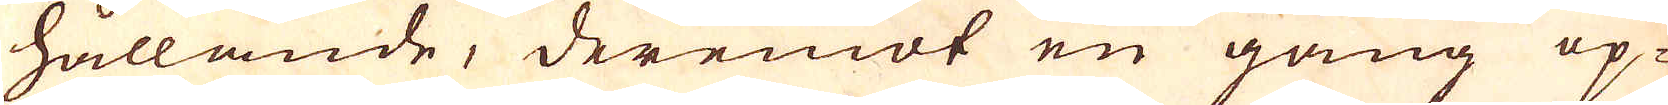hållande, deremot en gång op-
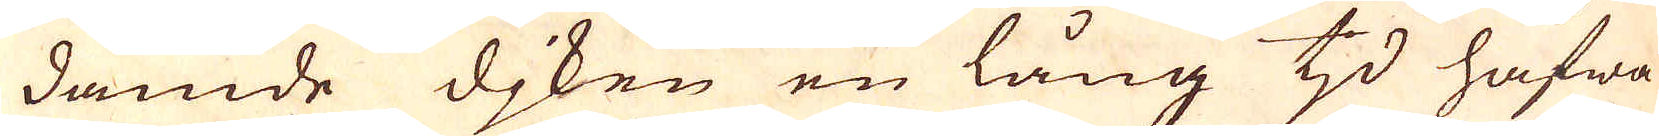dämde djken en lång tjd hafwa
